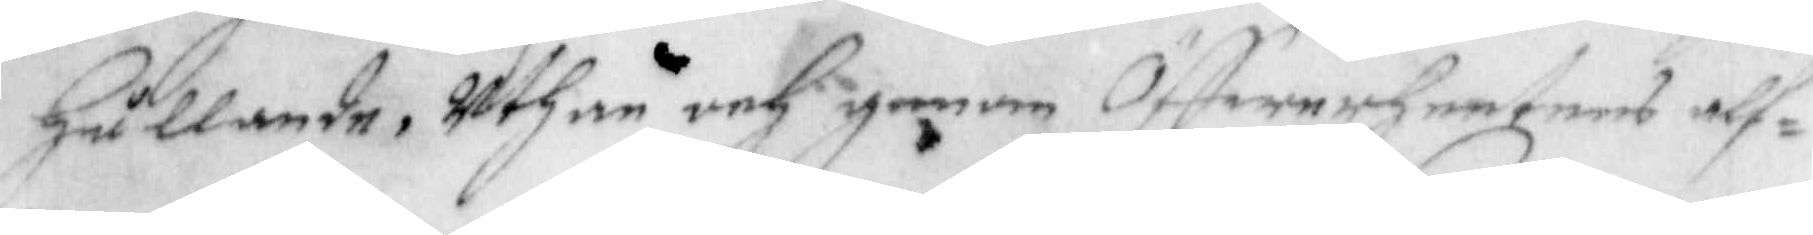hållande, uthan och genom Öffwerheetens alf¬
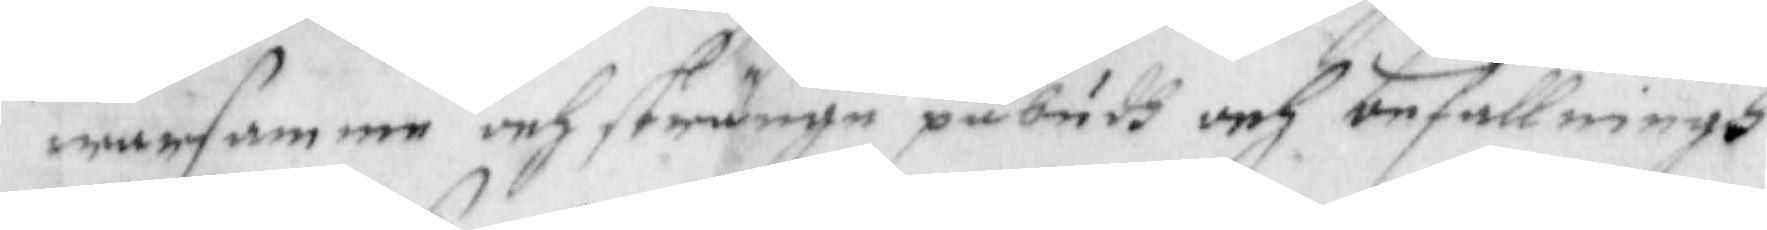warsamme och stränge påbudh och befallningh
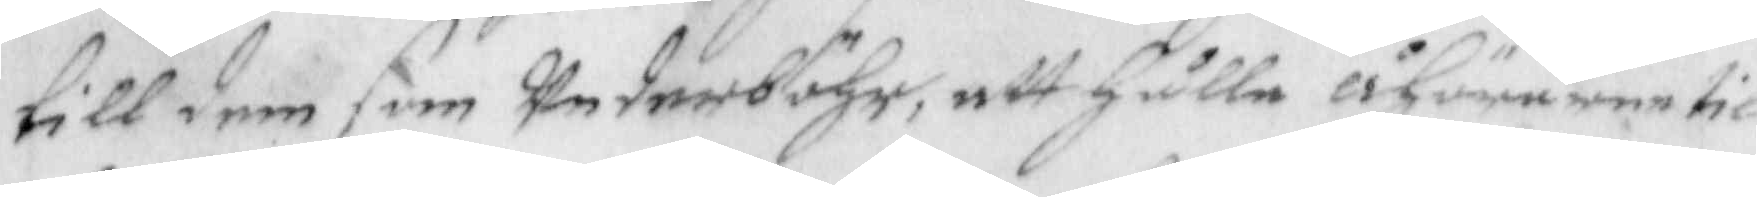till dem som wederböhr, att hålla åhörarne til
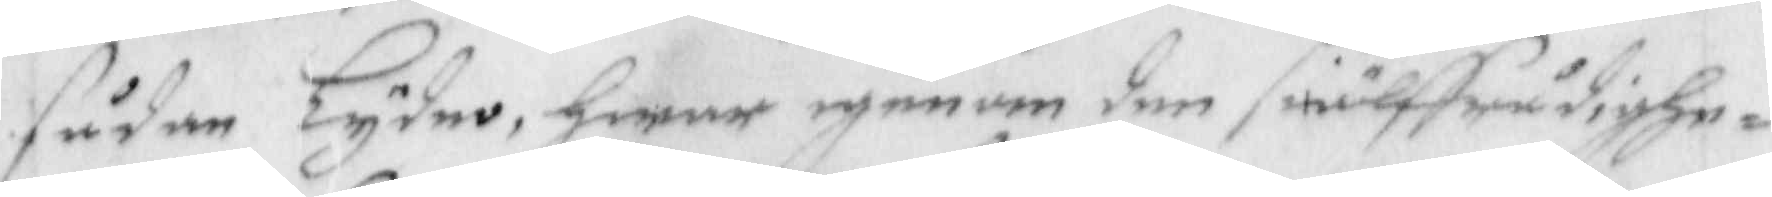sådan Lydno, hwar igenom den siälffrådighe¬
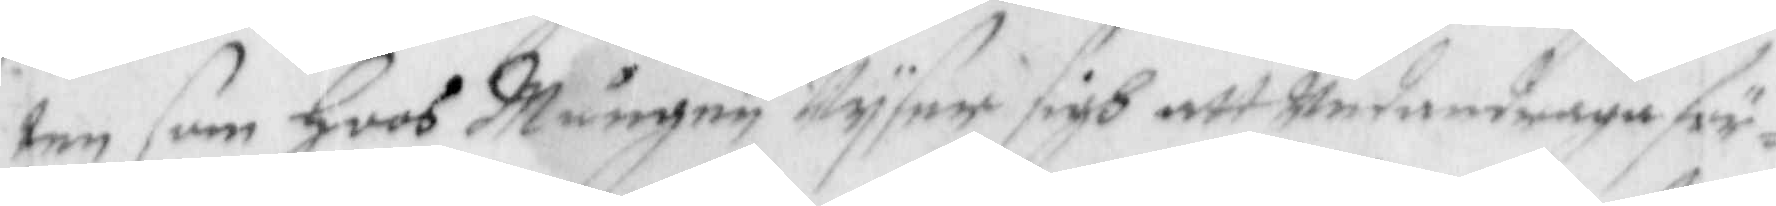ten som hoos Mången Wyser sigh att Undandraga för¬
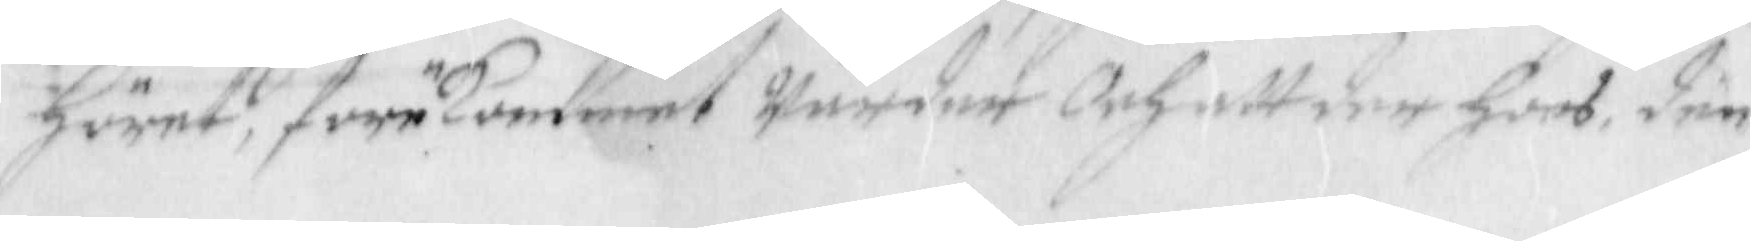höret, förekommet warder och att der hoos den
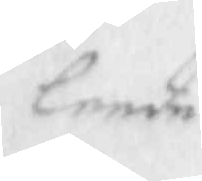lende
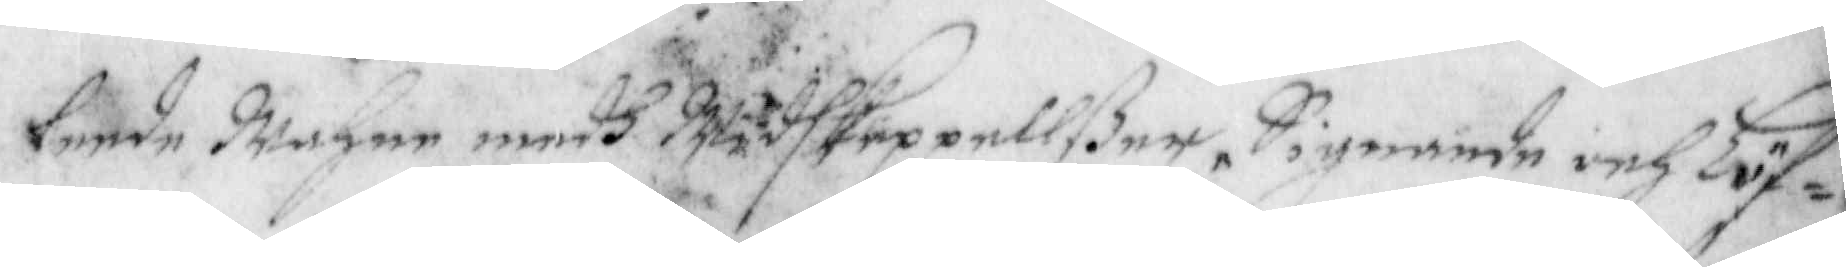lende Mehre medh Widhskeppellßer, Signande och Löf¬
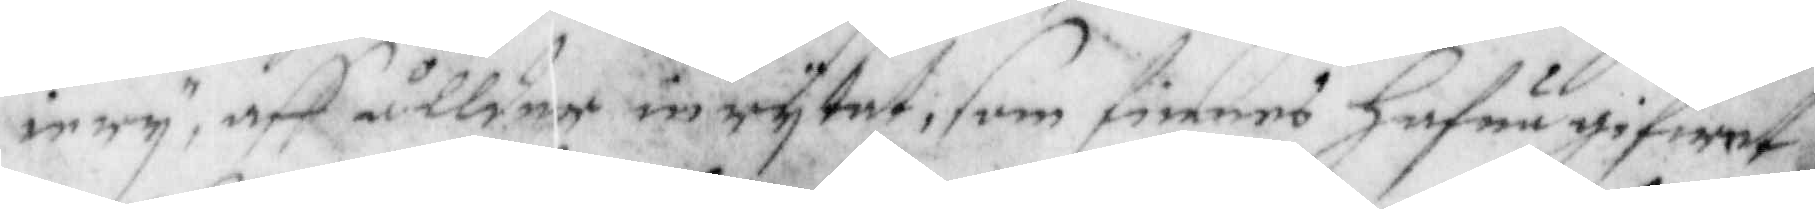irry, aff ållder inrytat, som finnes Hafue gifwet
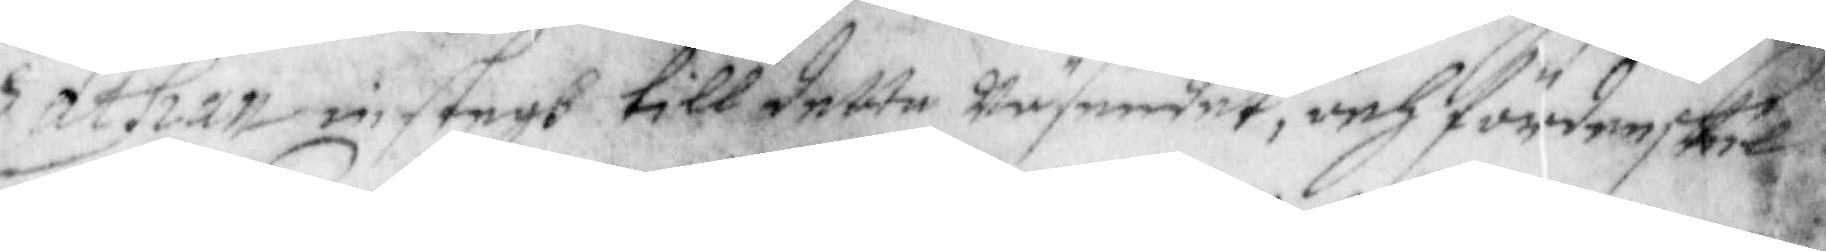Zathan instegh till dette wäsendet, och fördenskul
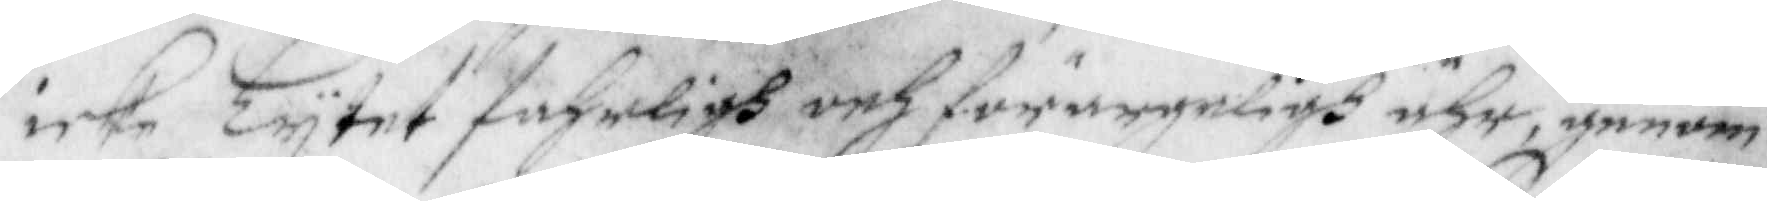icke Lytet fahrligh och förargerligh ähr, genom
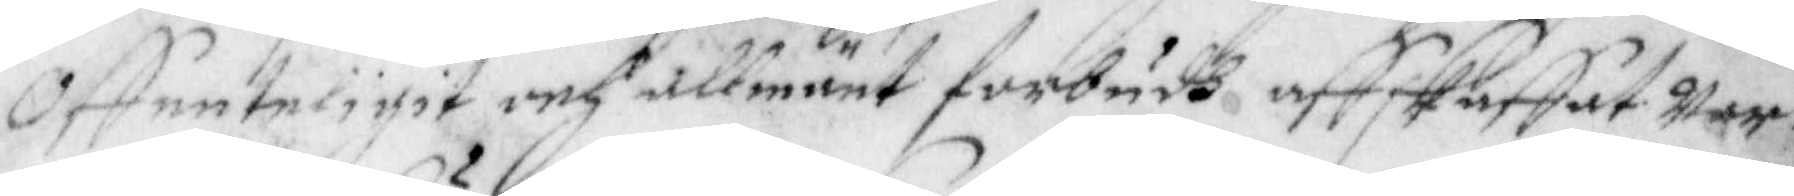Offenteligit och allmänt förbudh affskaffat war¬
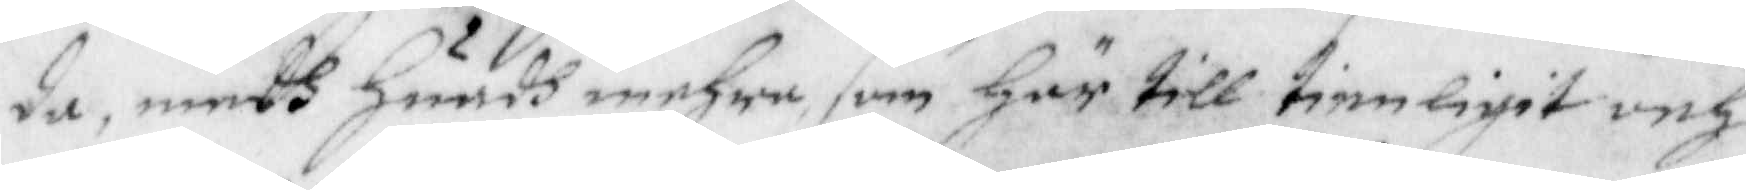da, medh huadh mehra, som här till tienligit och
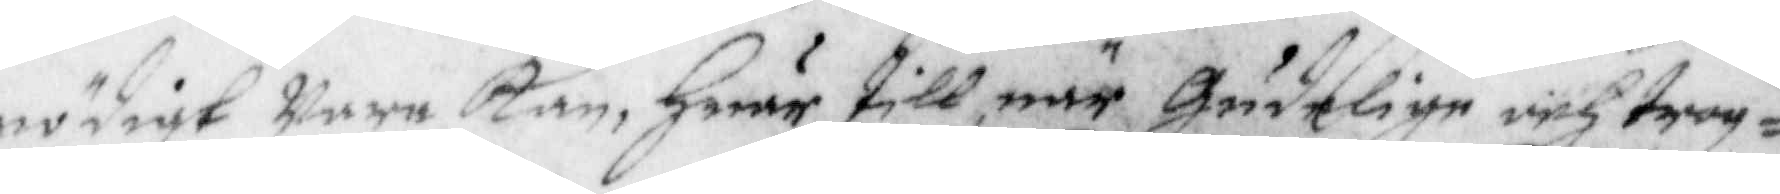nödigt wara kan, haur till när Gudelige och trog¬
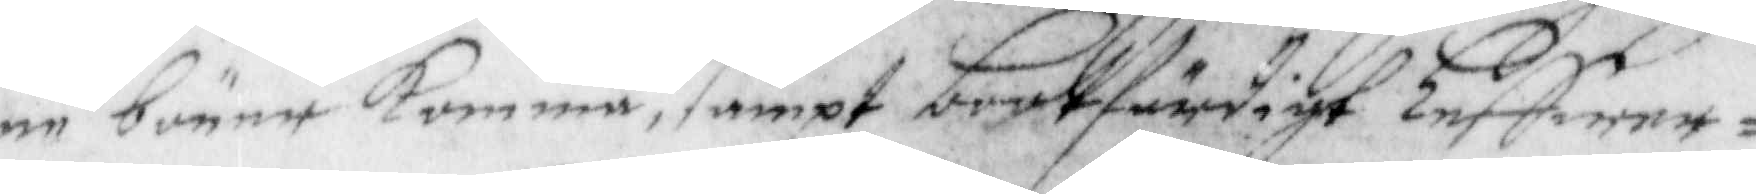ne böner komma, sampt bootfärdigt Leffwer¬
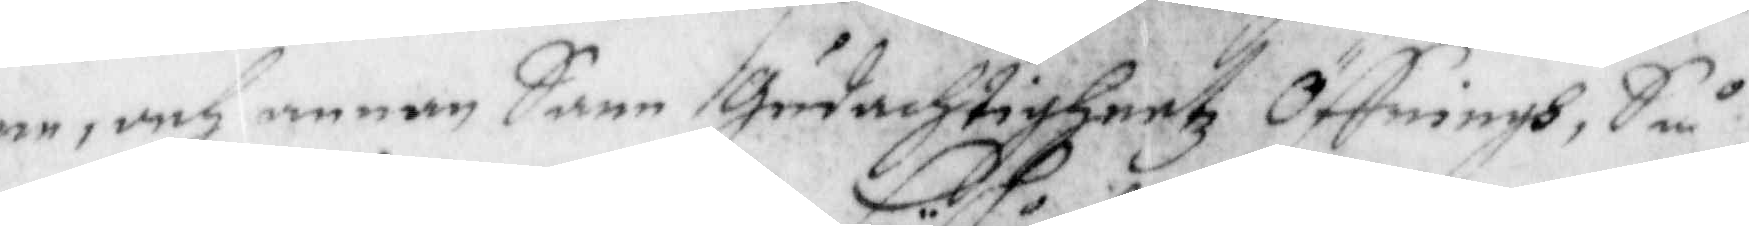ne, och annan Sann Gudachtigheetz Öffningh, Så
